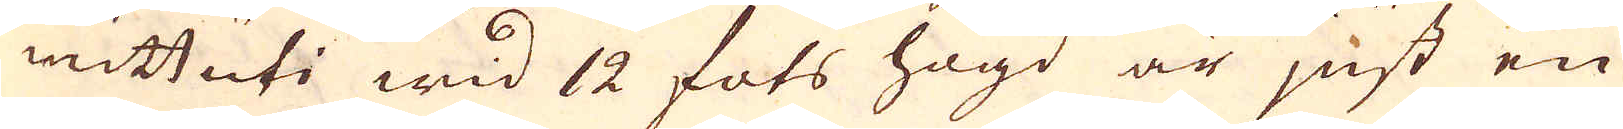mittuti wid 12 fots högd är just en
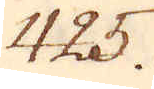425.
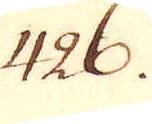426.
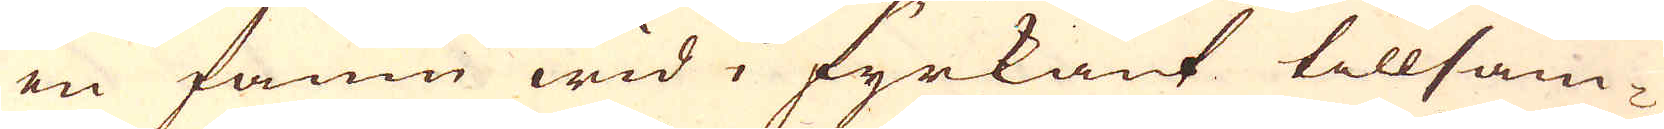en famn wid i fyrkant tillsam-
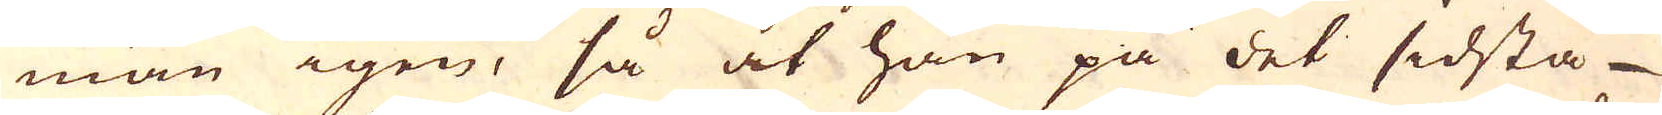man igen, så at han på det sidsta
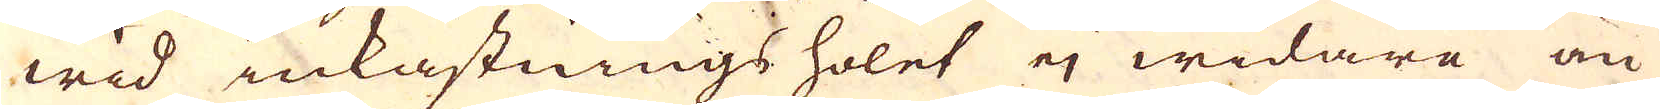wid inkastnings holet ej widara än
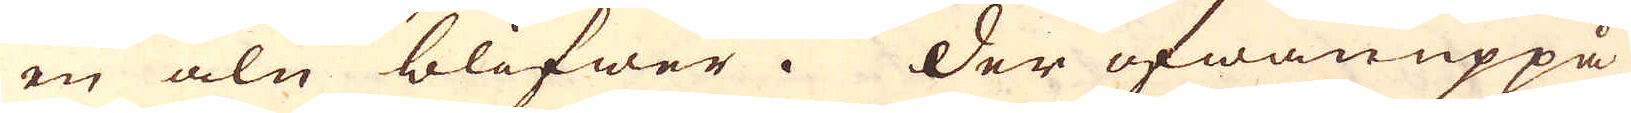en aln blifwer. Der ofwanuppå
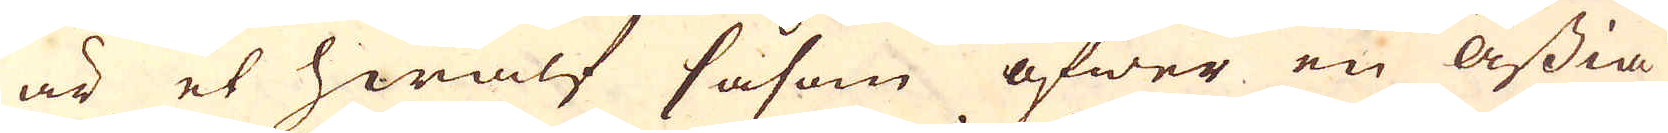är et hwalf såsom öfwer en ässia
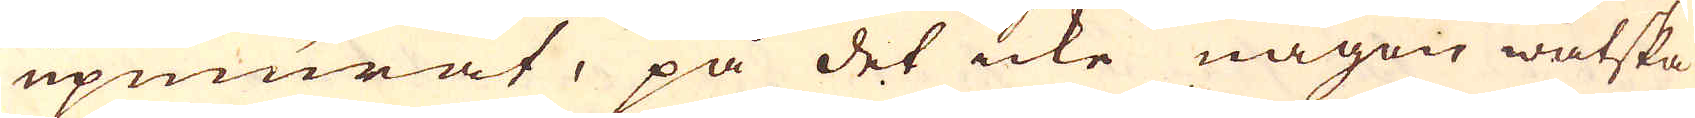upmurat, på det icke någon wätska
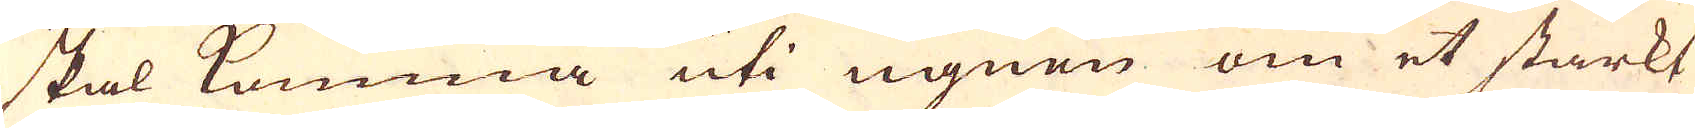skal komma uti ugnen om et starkt
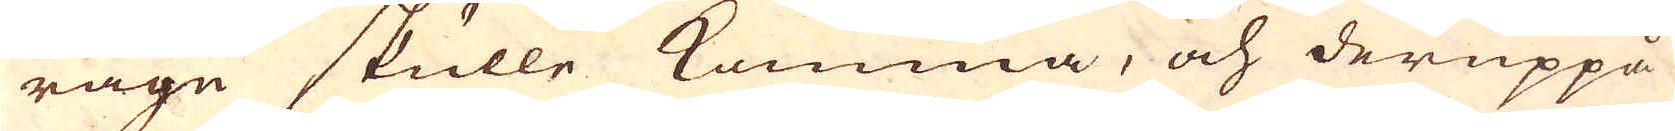rägn skulle komma, och deruppå
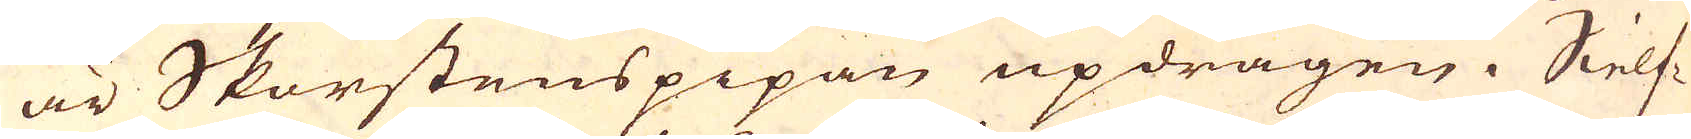är Skorstenspipan updragen. Sielf-
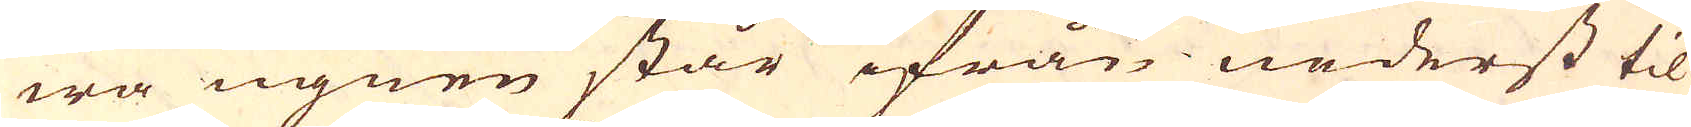wa ugnen står ifrån nederst til
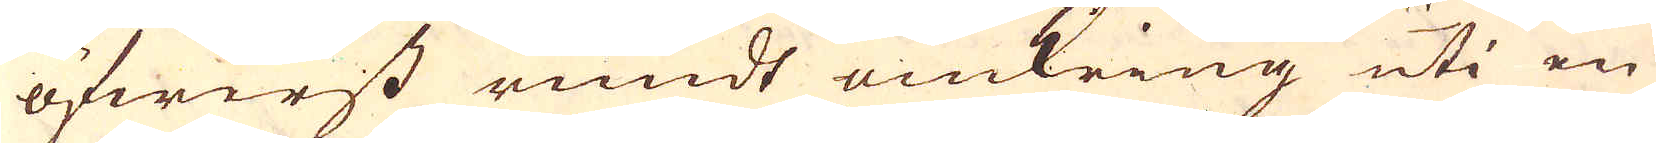öfwerst rundt omkring uti en
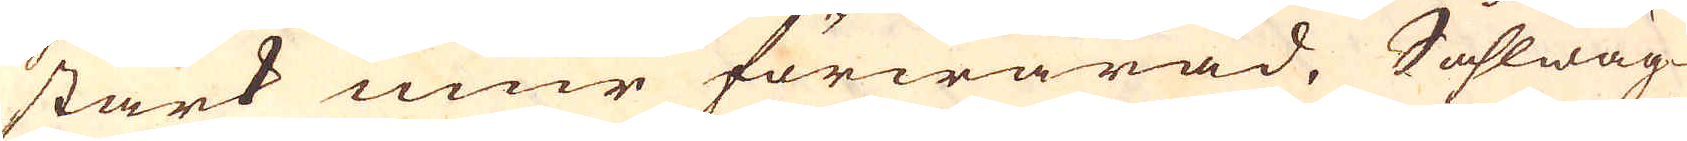stark mur förwarad. Såhlwäg-
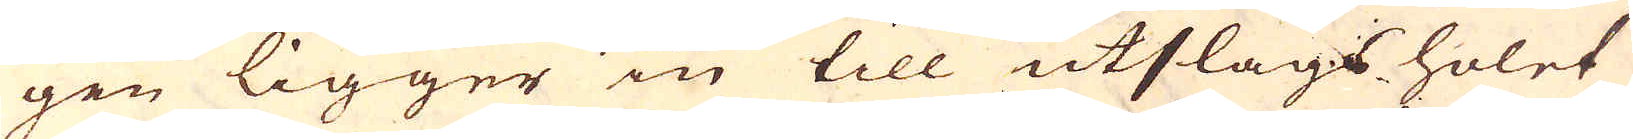gen ligger in till utslags holet
